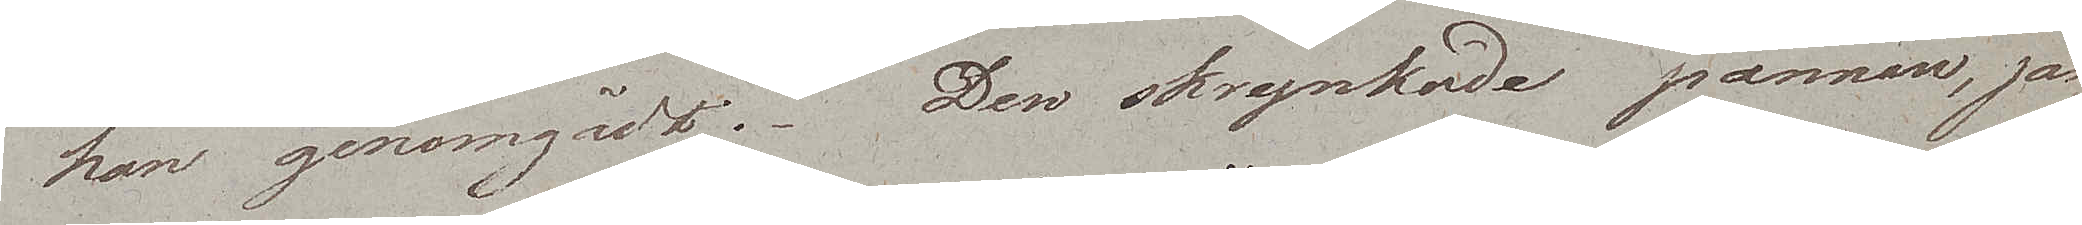han genomgådt. Den skrynkade pannan, jäm¬
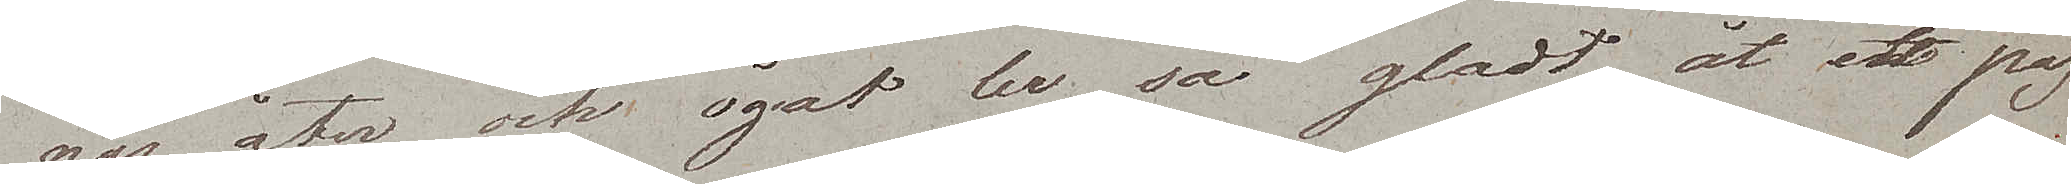nas åter och ögat ler sa gladt åt ett pas¬
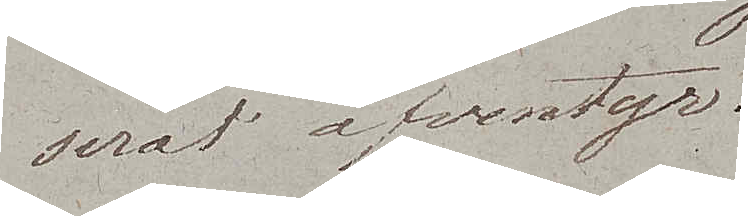serat äfventyr.
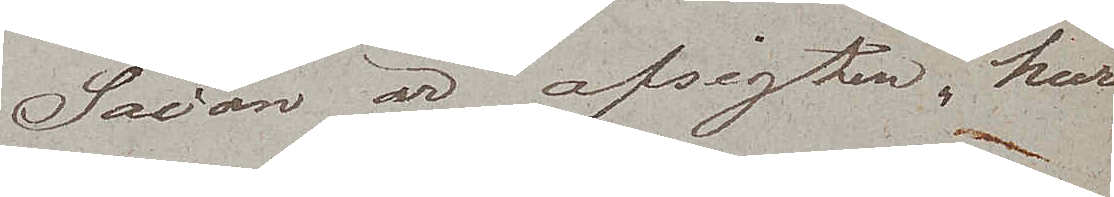Sådan är afsigten, huru
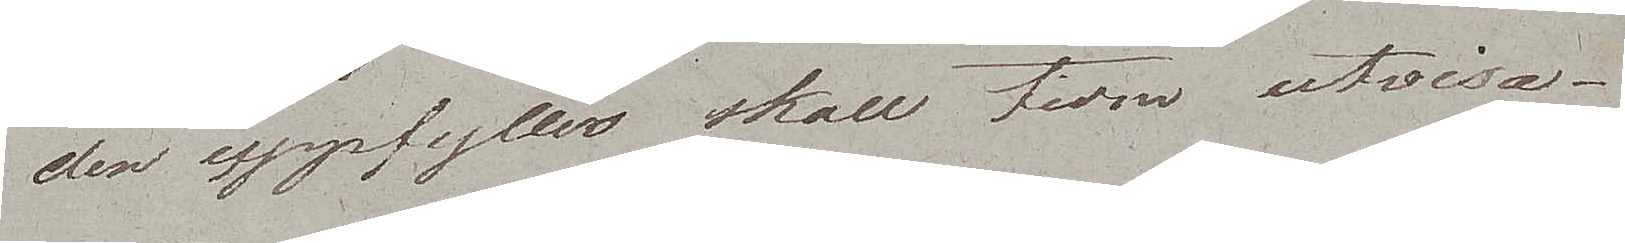den uppfylles skall tiom utvisa.
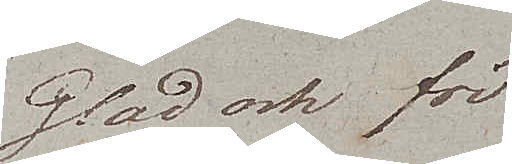Glad och fri
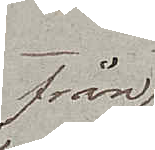från
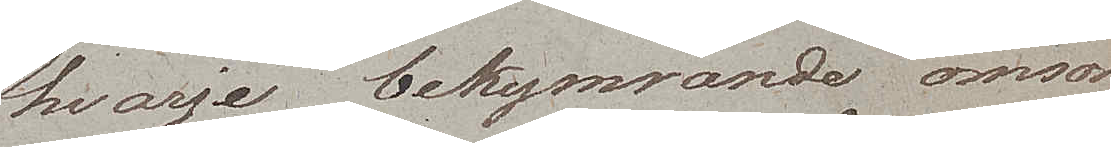hvarje bekymrande omsorg
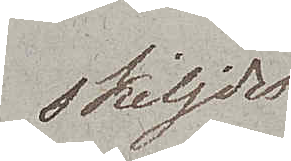skiljdes
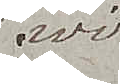wi
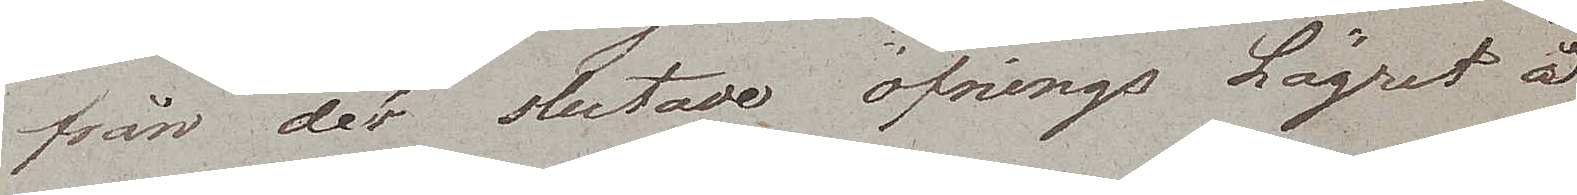från det slutade öfnings Lägret å
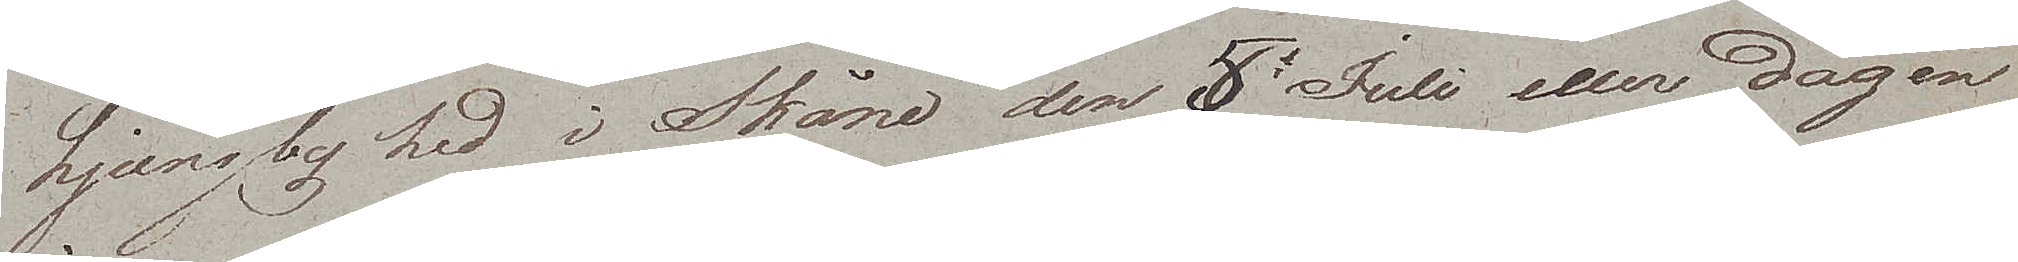Ljungby hed i Skåne den 5e Juli eller dagen
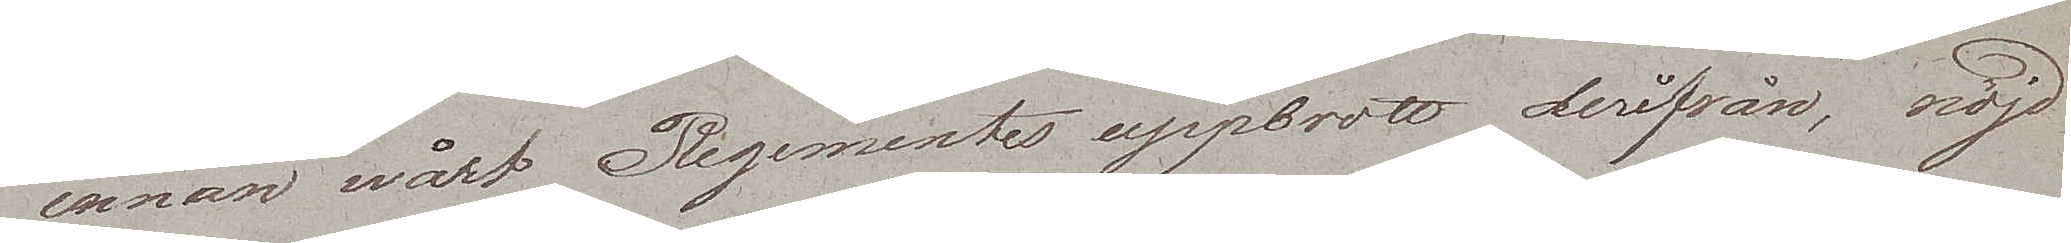innan wårt Regementes uppbrott derifrån, nöjd
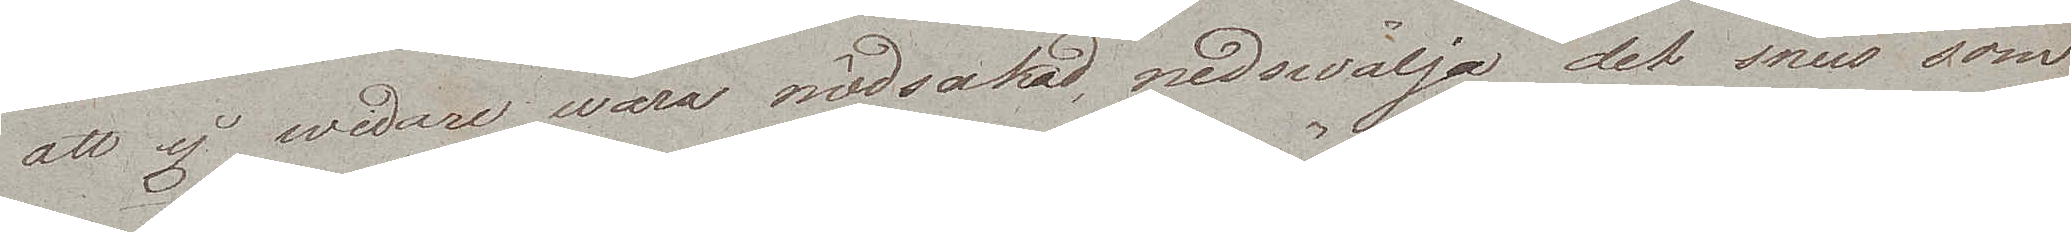att ej wedare wara nödsakad, nedswälja det snus som
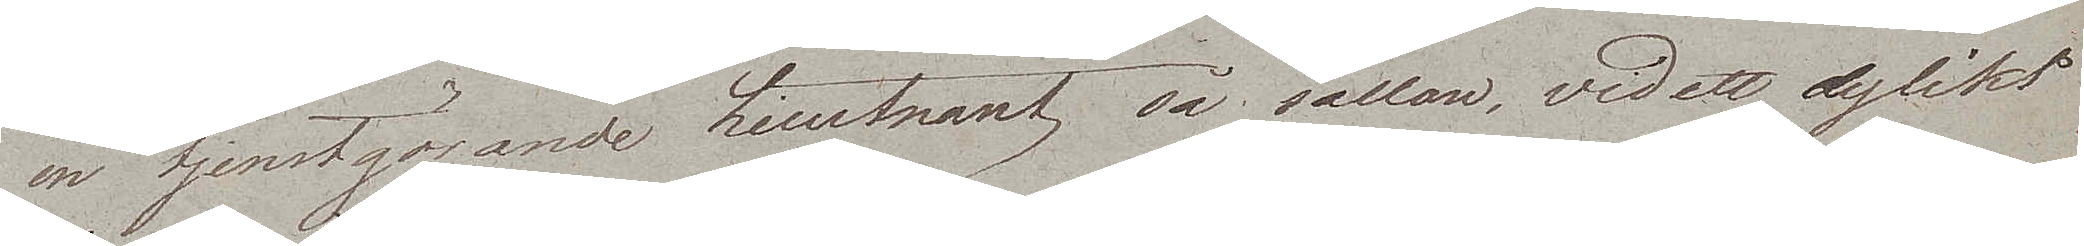en tjenstgörande Lieutnant så sällan, vid ett dylikt
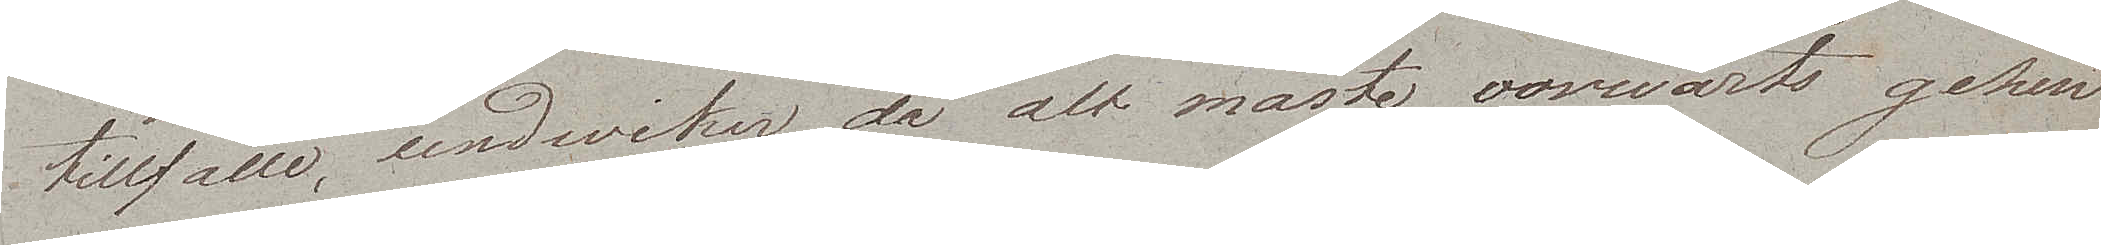tillfälle, undviker de alt måste vorwärts gehen
